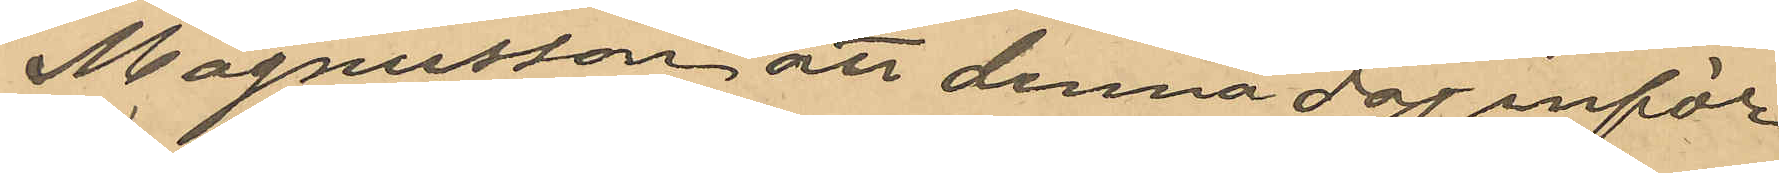Magnusson att denna dag inför
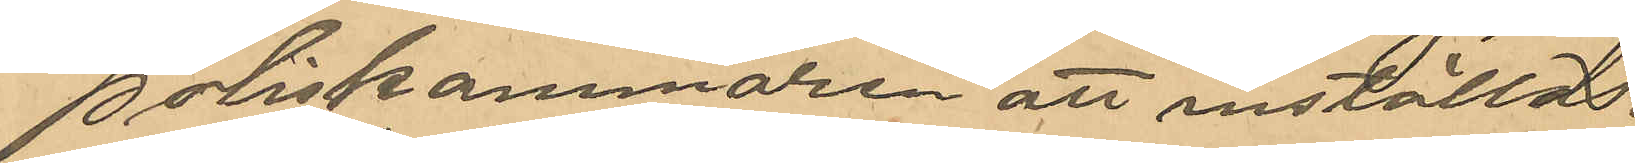Poliskammaren att inställas.
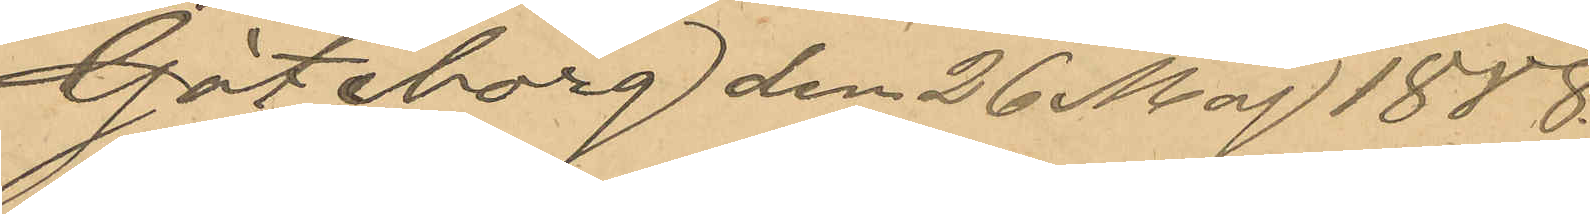Göteborg den 26 Maj 1888.
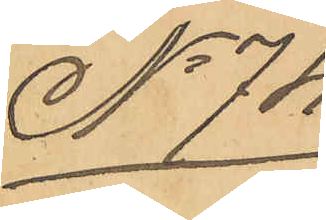No 74
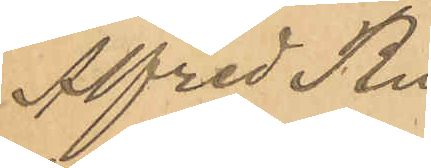Alfred Ru¬
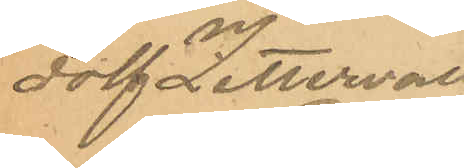dolf Zettervall
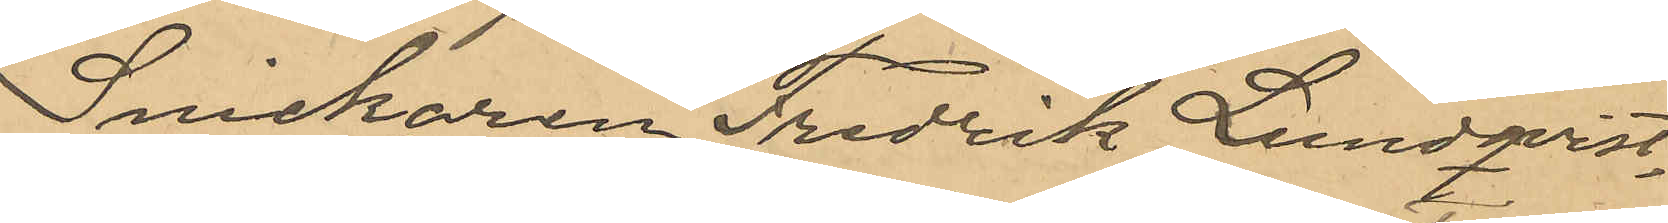Snickaren Fredrik Lundqvist
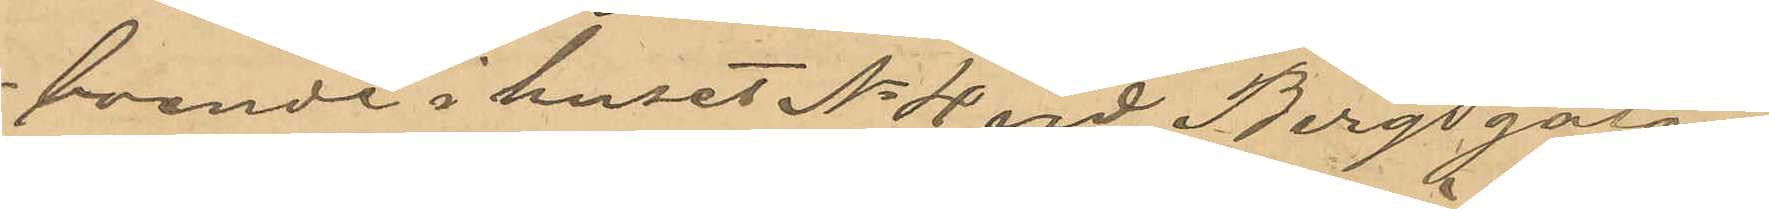boende i huset No 4 vid Bergsgatan
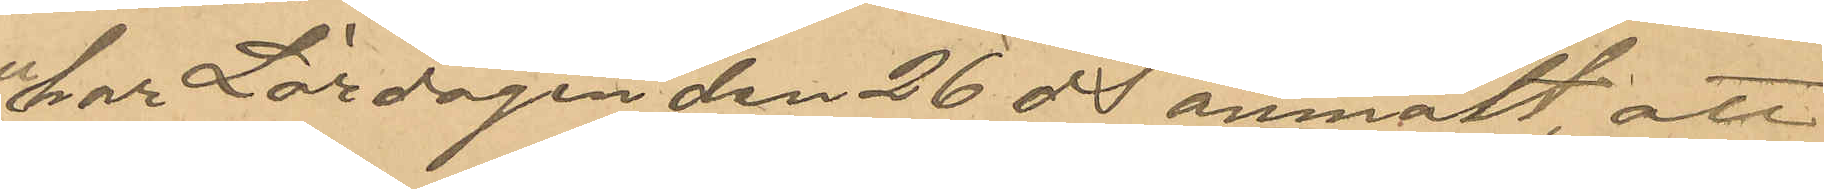har Lördagen den 26 ds anmält, att
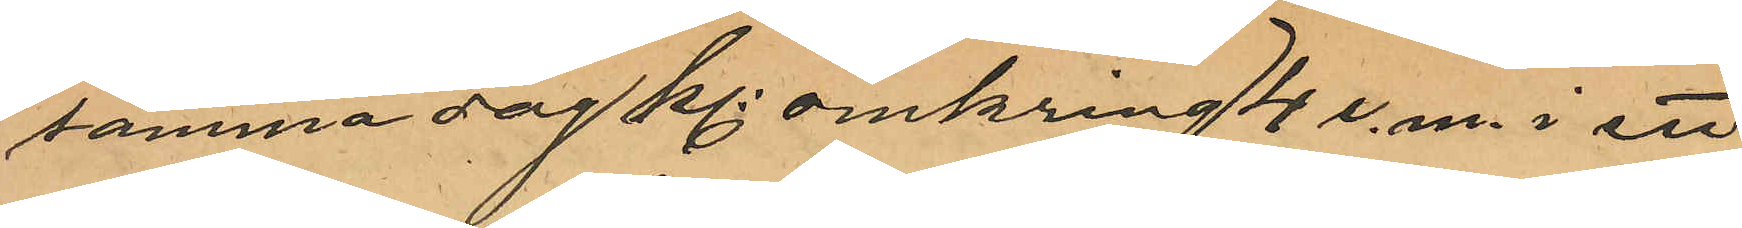samma dag Kl omkring 4 e.m. i ett
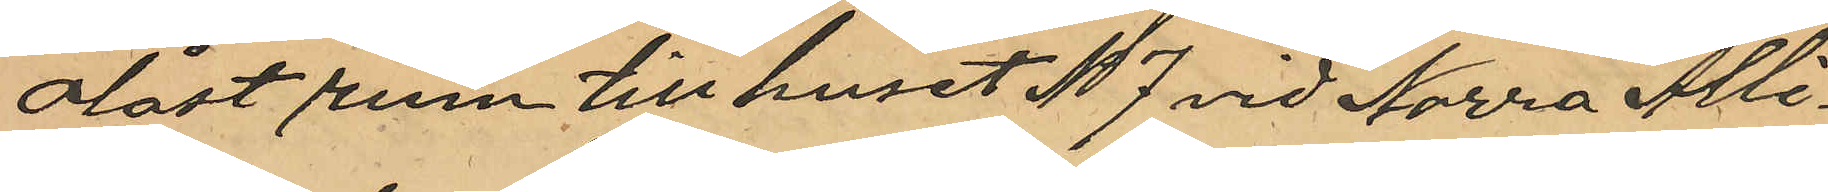olåst rum till huset No 7 vid Norra Allé¬
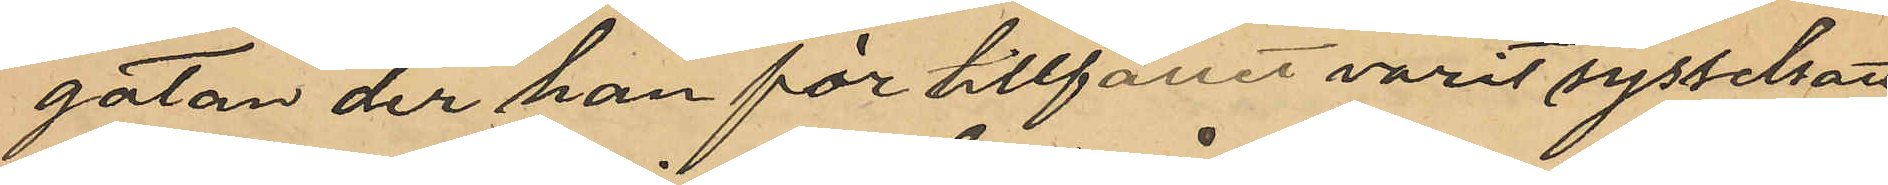gatan, der han för tillfället varit sysselsatt
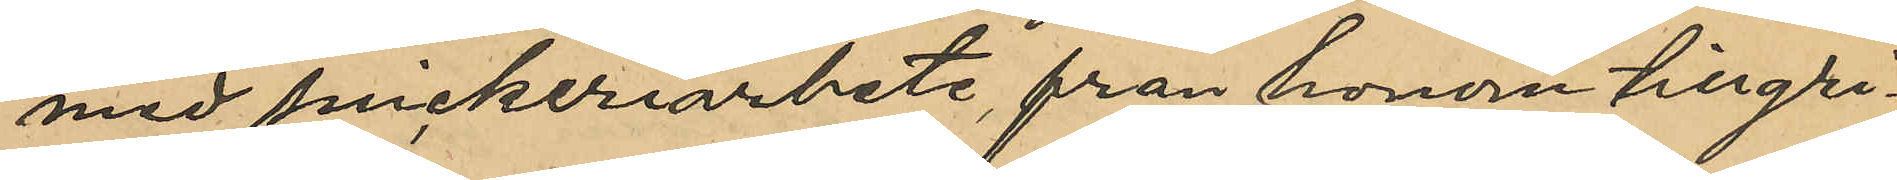med snickeriarbete, från honom tillgri¬
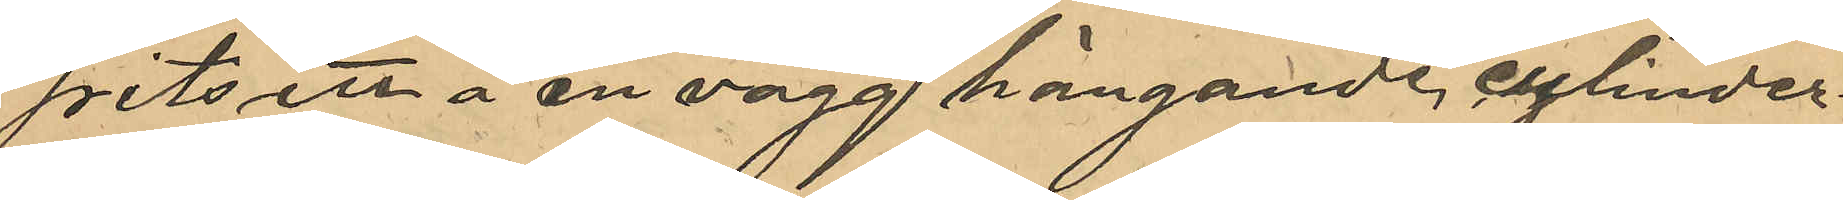pits ett å en vägg hängande cylinder¬
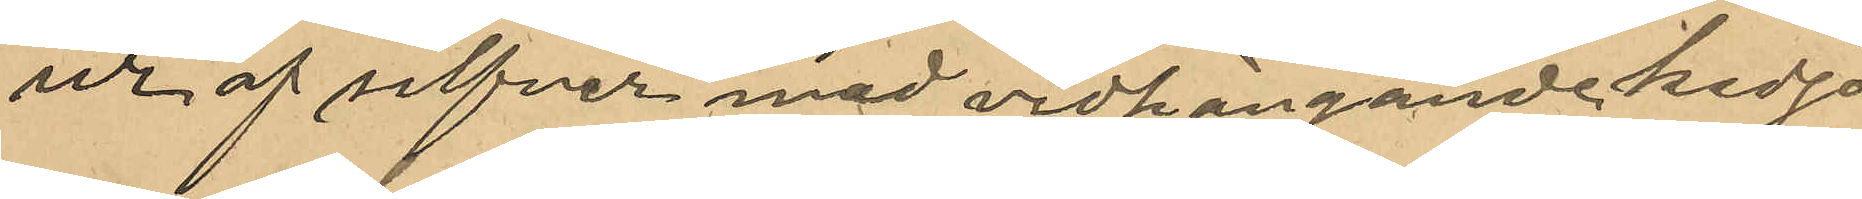ur af silfver med vidhängande kedja
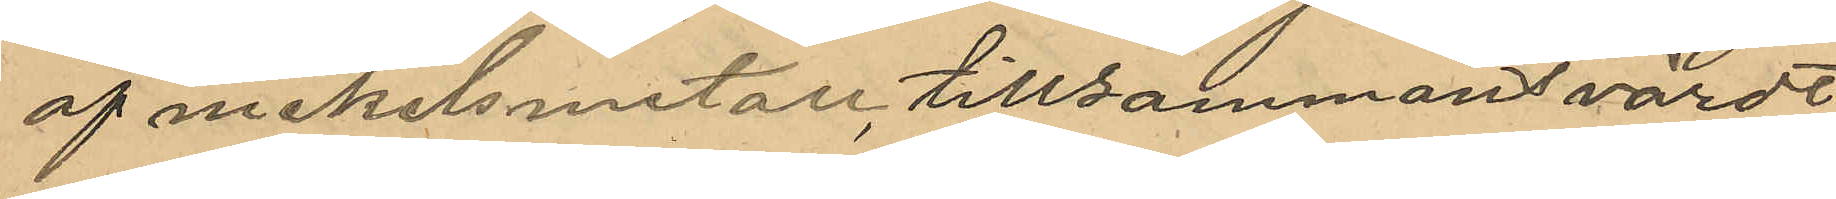af nickelmetall, tillsammans värdt
